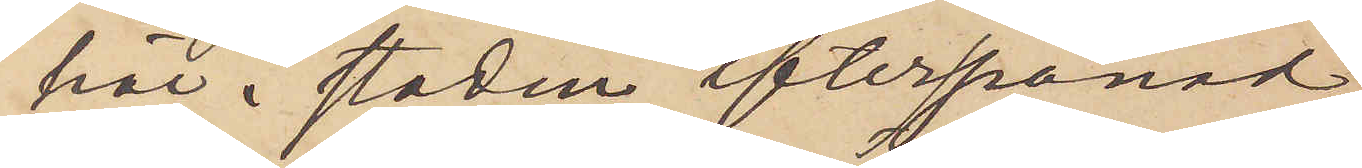här i staden efterspanad,
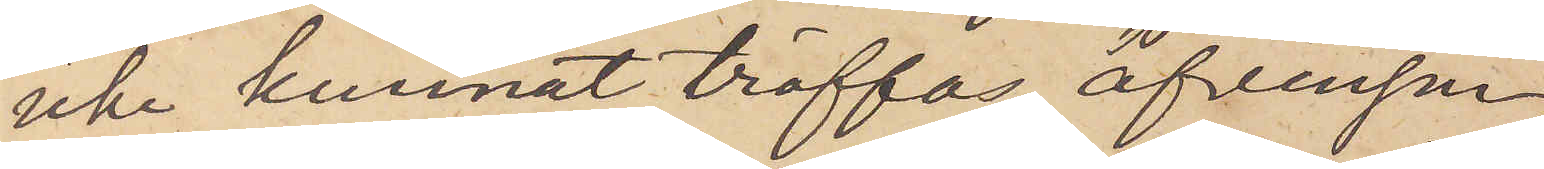icke kunnat träffas, äfvenson
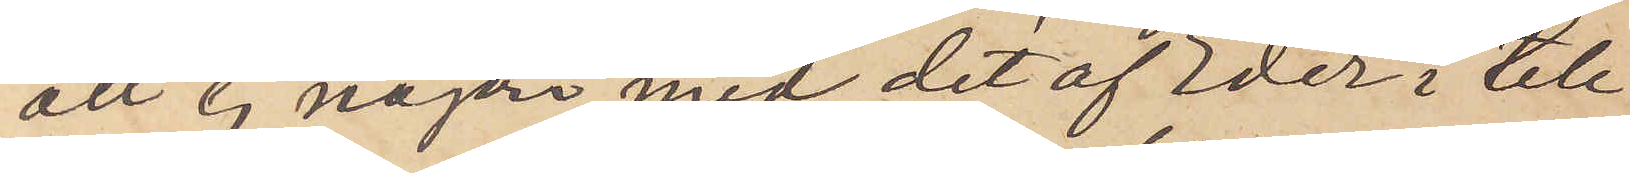att ej någon med det af Eder i tele¬
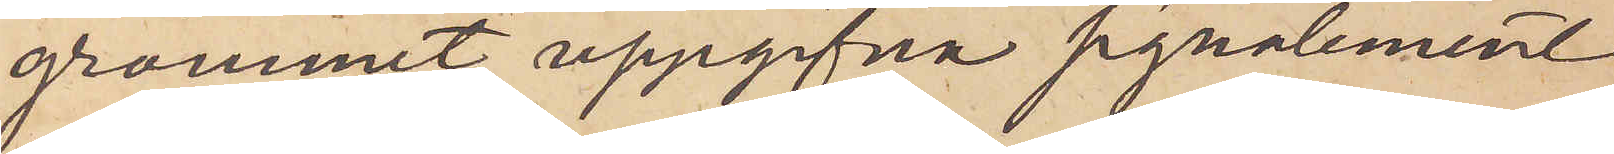grammet uppgifna signalement
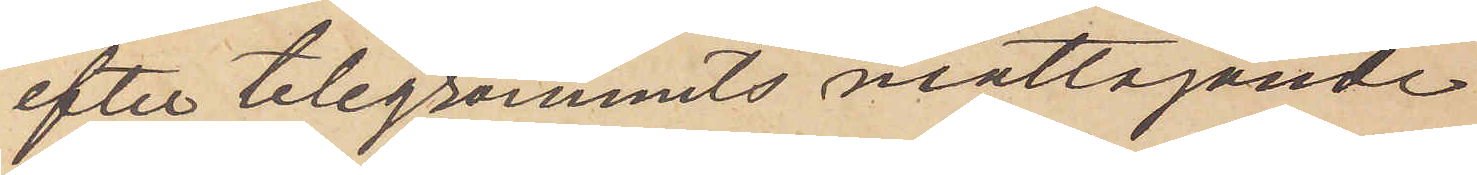efter telegrammets mottagande
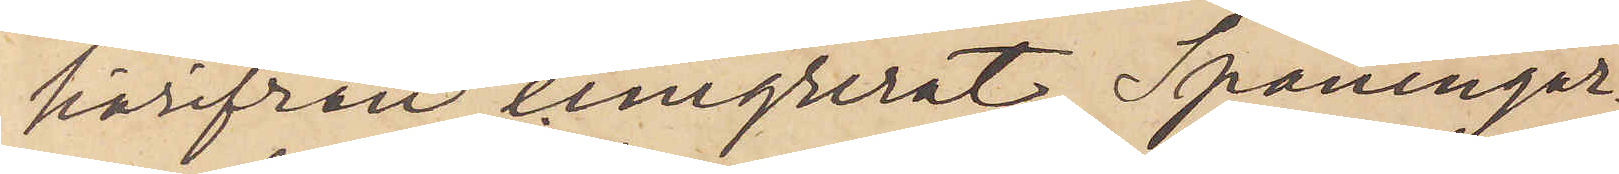härifrån emigrerat. Spaningar¬
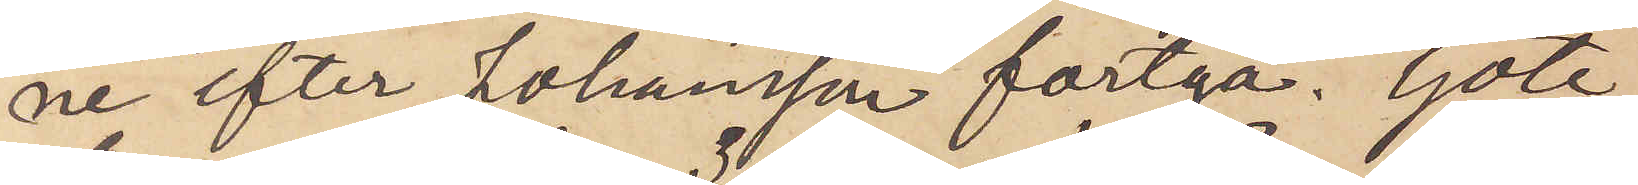ne efter Johansson fortgå. Göte¬
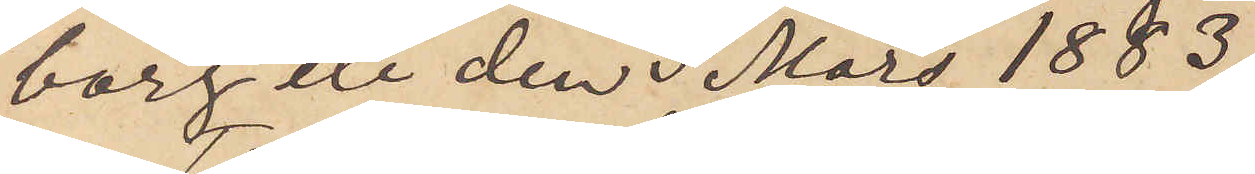borg etc den 3 Mars 1883.
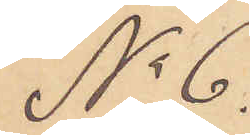No 6
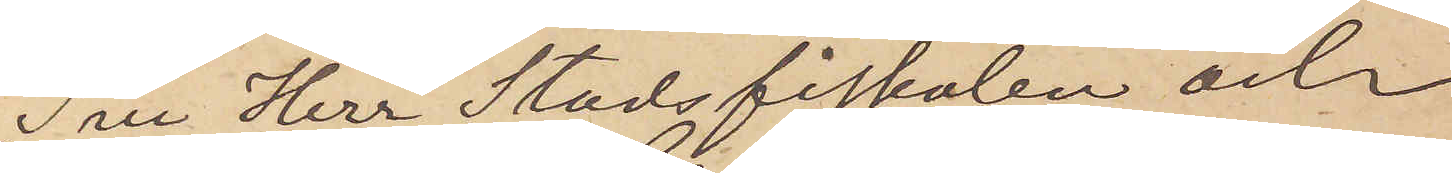Till Herr Stadsfiskalen och
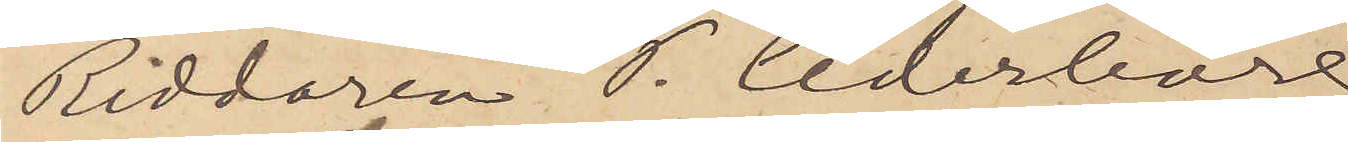Riddaren P. Cederborg.
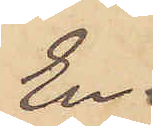En
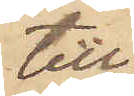till
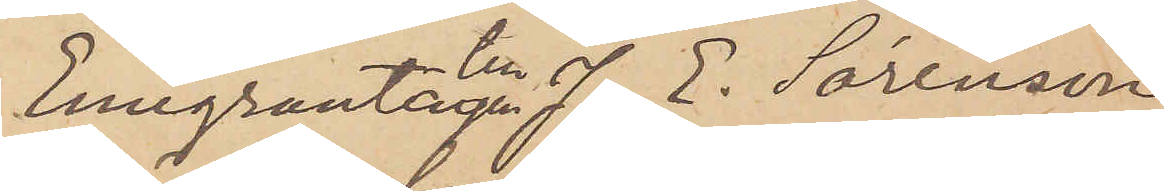Emigrantagenten J. E. Sörenson
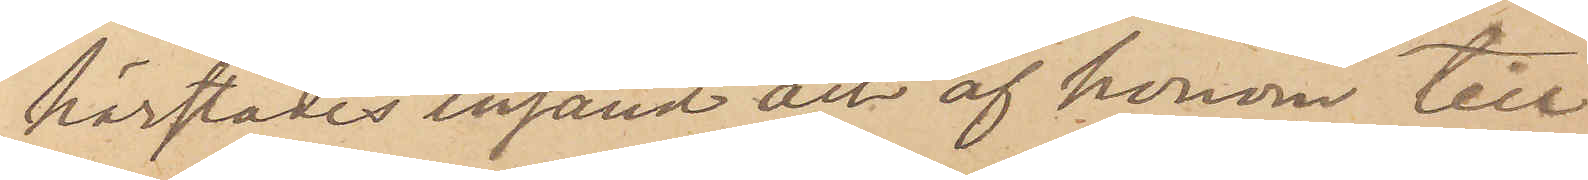härstädes insänd och af honom till
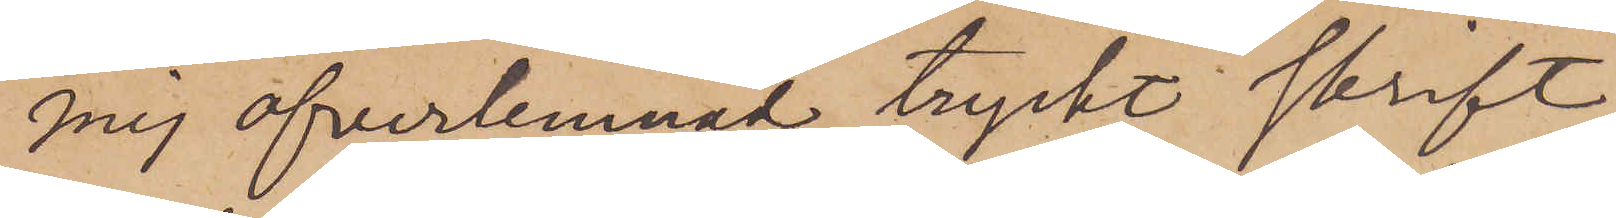mig öfverlemnad tryckt skrift,
